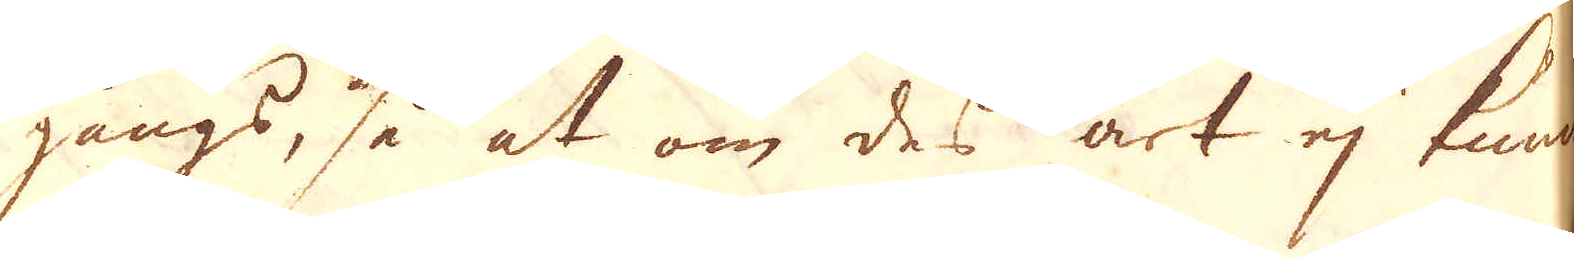gångs, så at om des art ej kunde
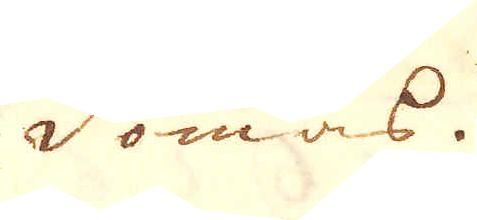dömas.
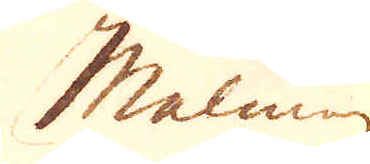Malmen
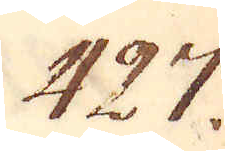427.
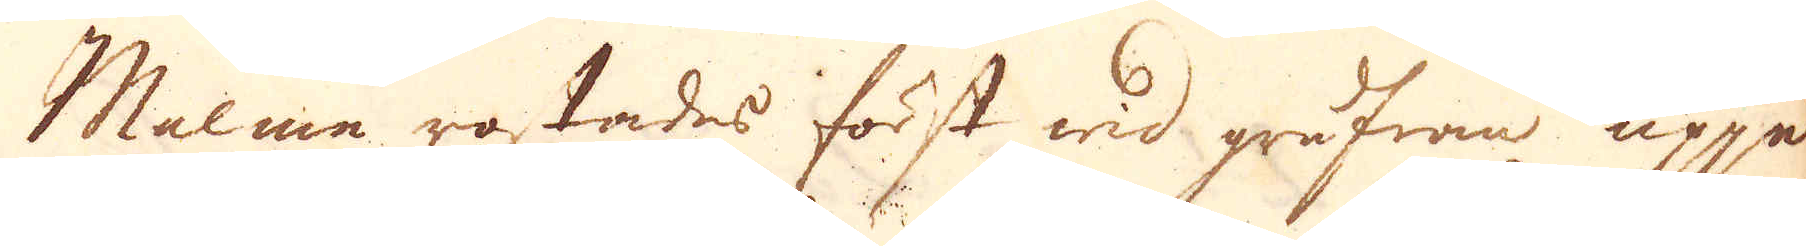Malmen rostades först wid grufwan uppe
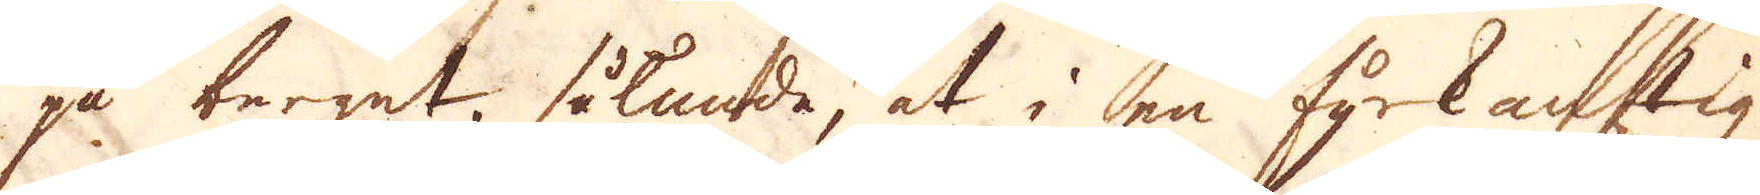på berget, sålunda, at i en fyrkantig
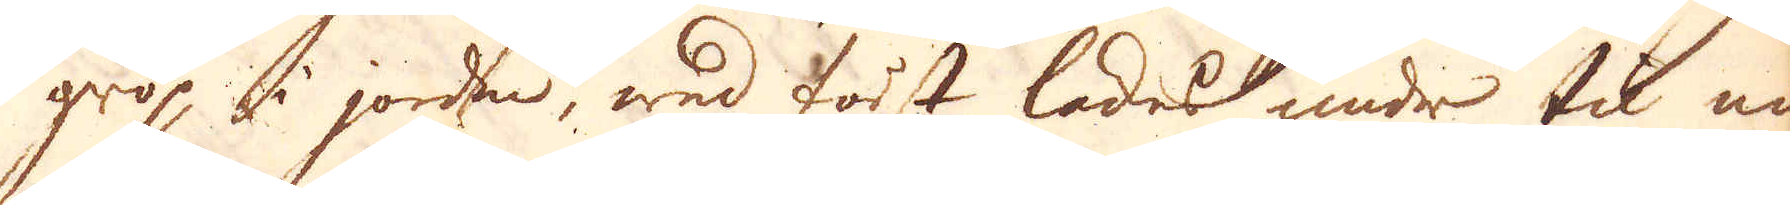grop i jorden, wed först lades under til en
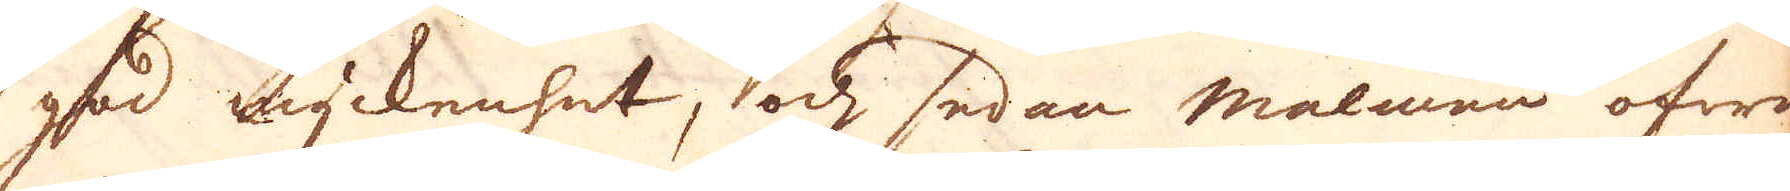god myckenhet, och sedan malmen ofwan-
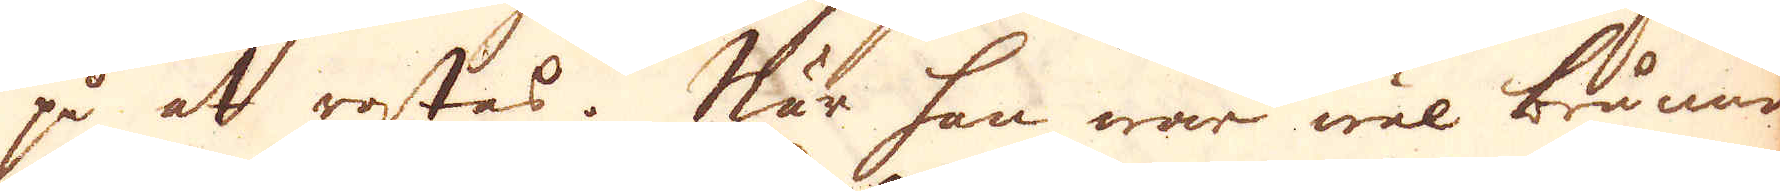på at rostas. När han war wäl brunnen
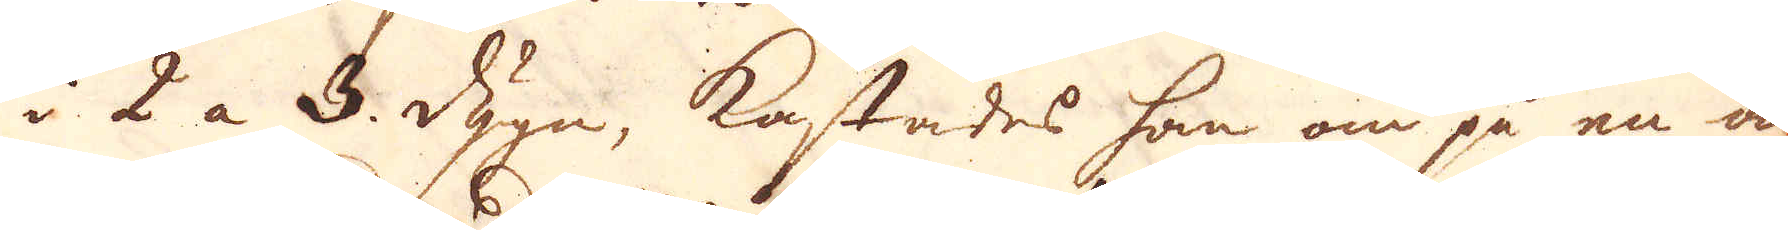i 2 a 3. dygn, kastades han om på en an-
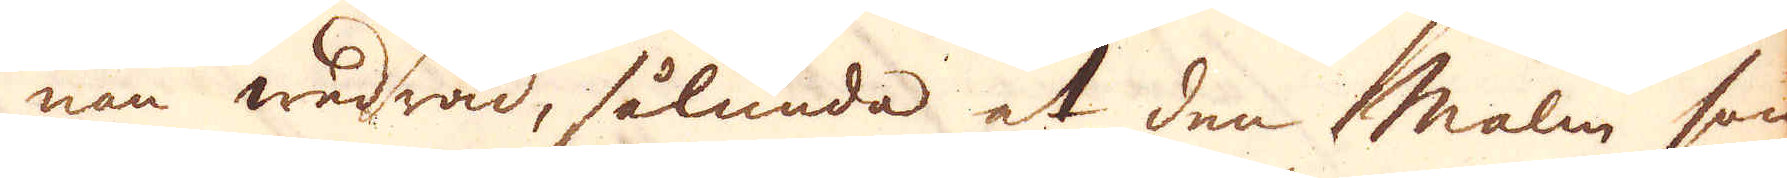nan wedråd, sålunda at den Malm som
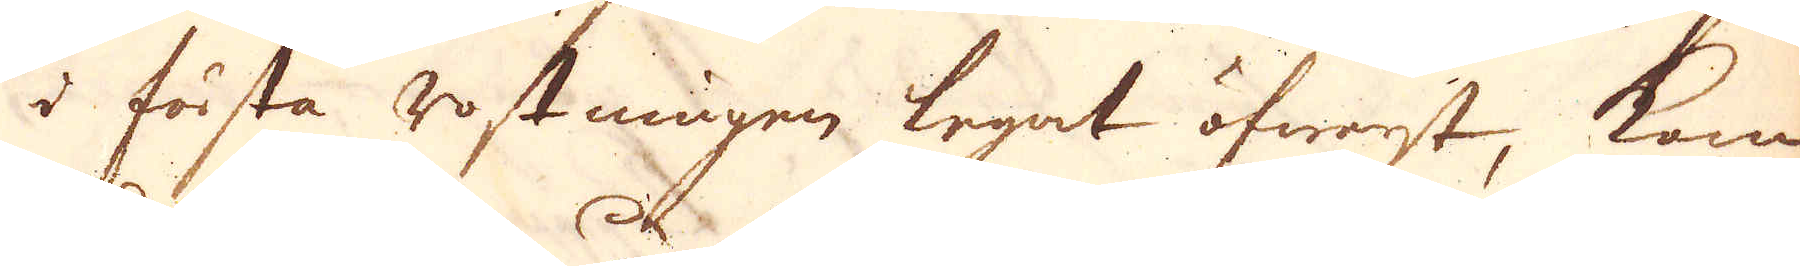i första rostningen legat öfwerst, kom
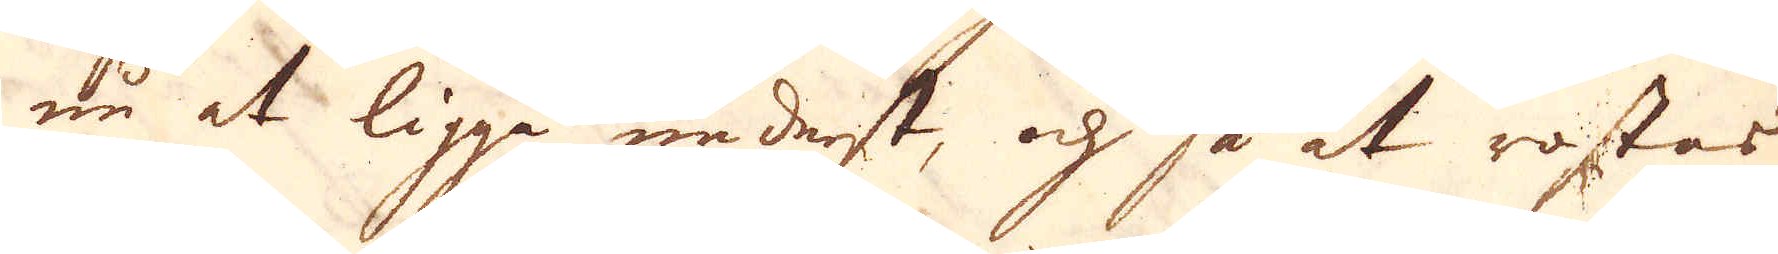nu at ligga nederst, och så at rostas
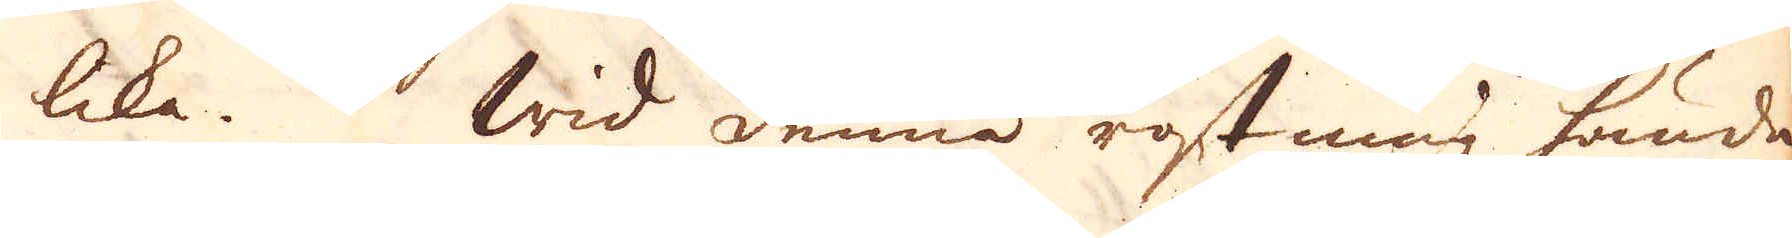lika. Wid denna rostning hände
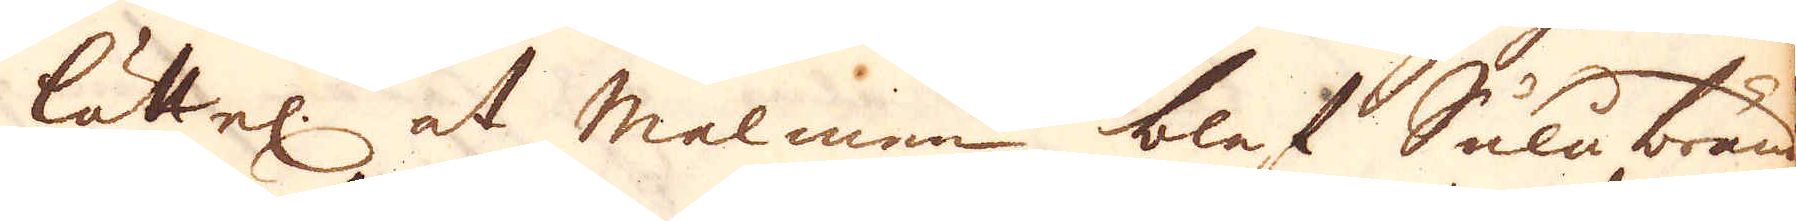lättel: at malmen blef Sulu bränd
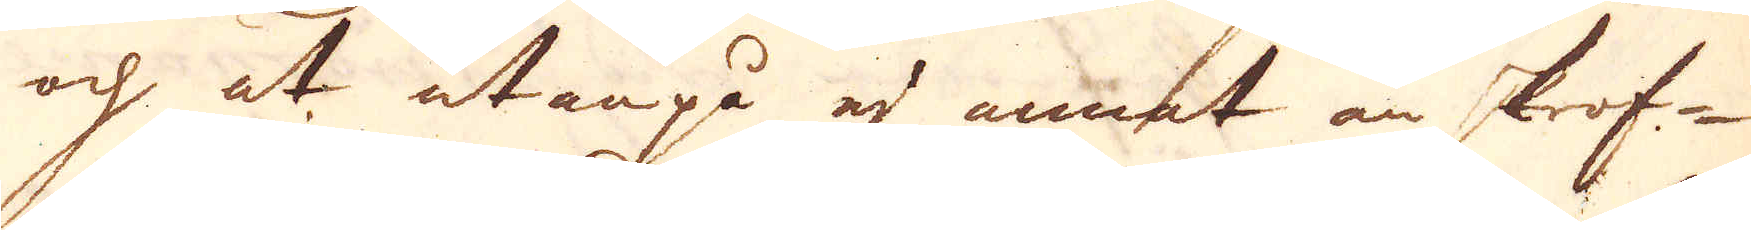och at utanpå ej annat än skrof-
